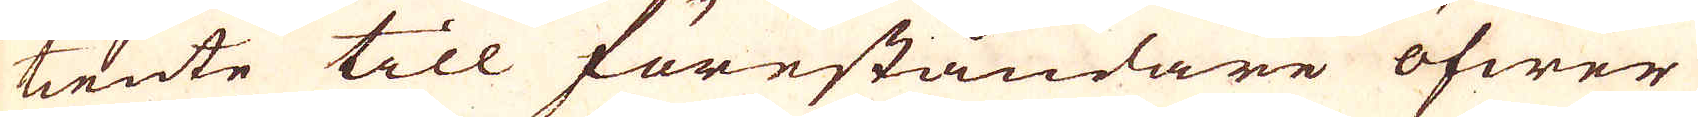tiente till föreståndare öfwer
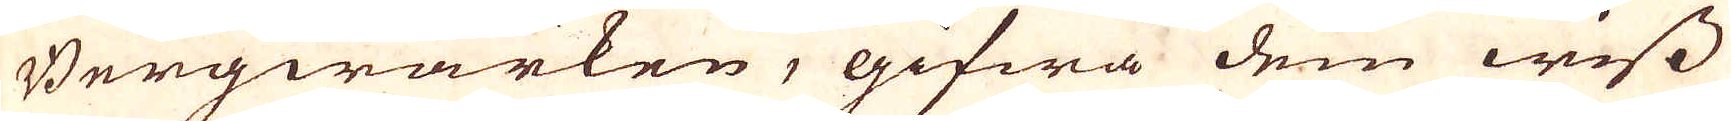Bergwärken, gifwa dem wiss
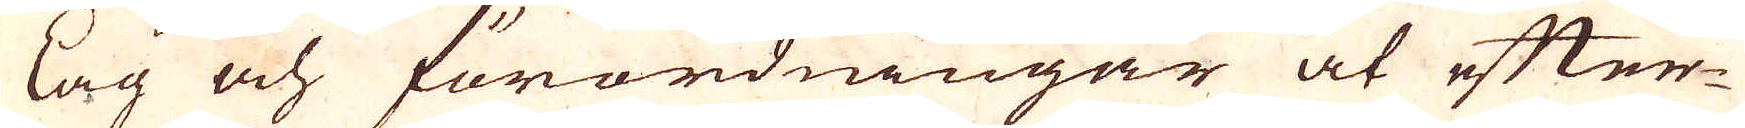lag och förordningar at efter-
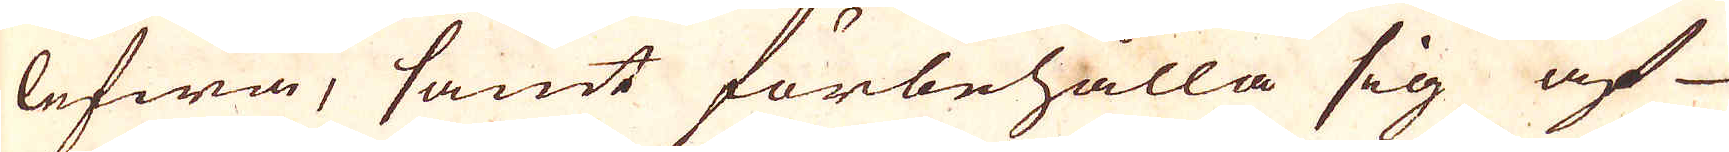lefwa, samt förbehålla sig af
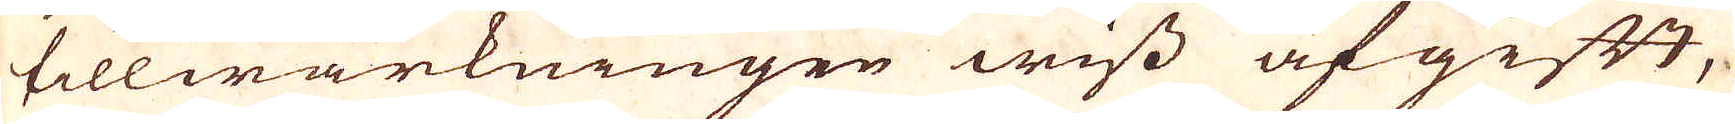tillwärkningen wiss afgift,
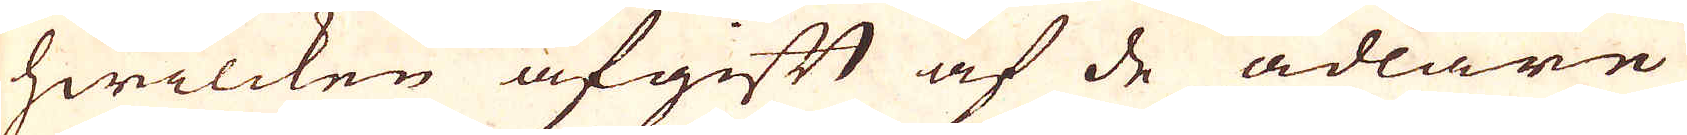hwilcken afgift af de ädlare
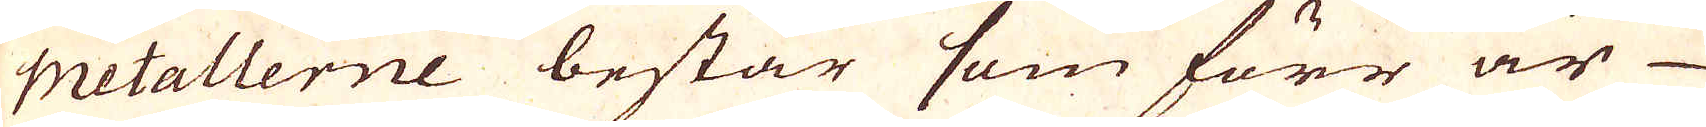Metallerne består som förr är
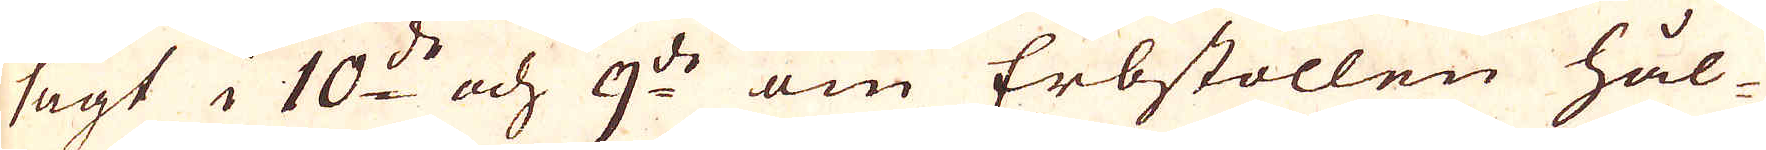sagt i 10:d och 9:de om Erbstollen hål-
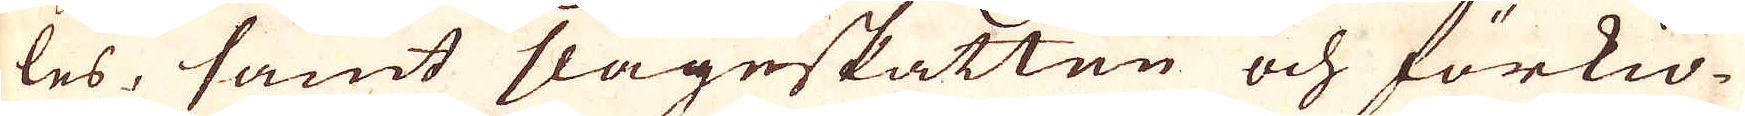les, samt slageskatten och förkiö-
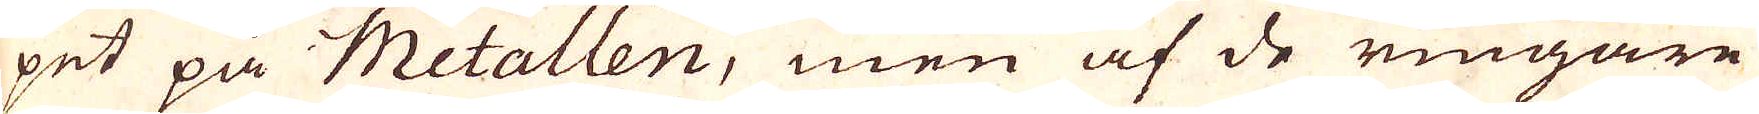pet på Metallen, men af de ringare
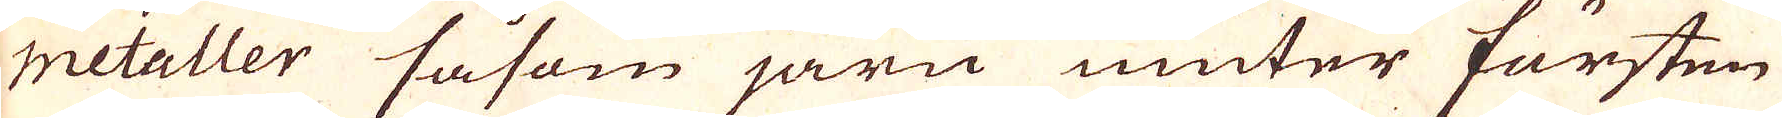metaller såsom järn niuter fursten
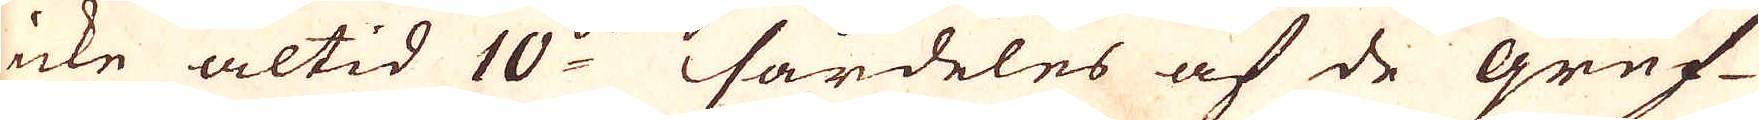icke altid 10:de särdeles af de gruf-
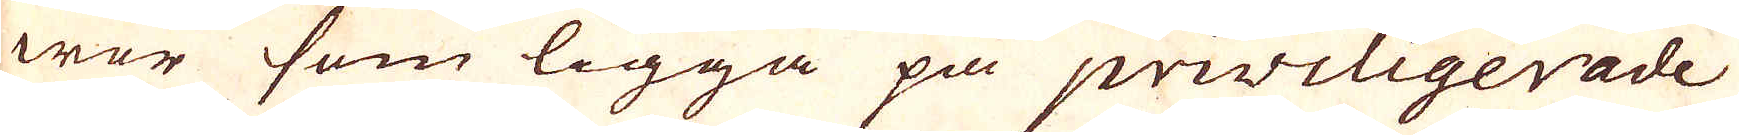wor som ligga på priviligerade
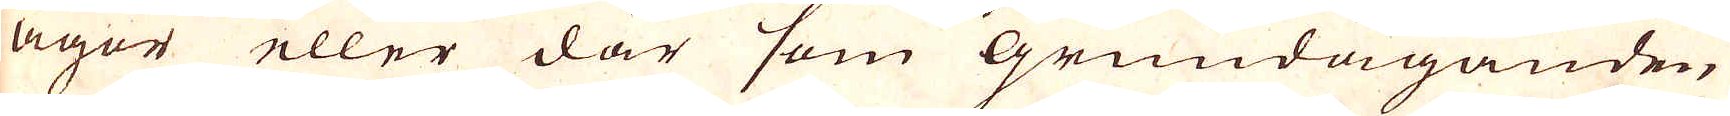ägor eller där som Grundäganden
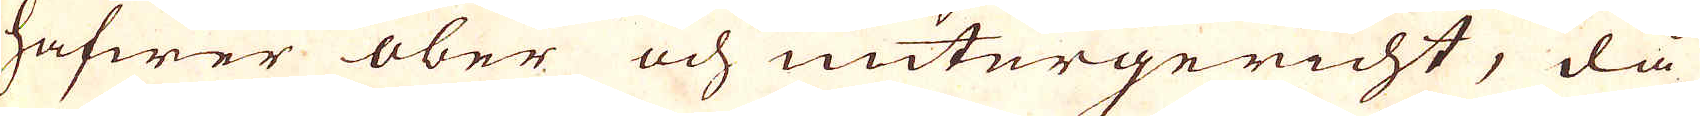hafwer ober och untergericht, då
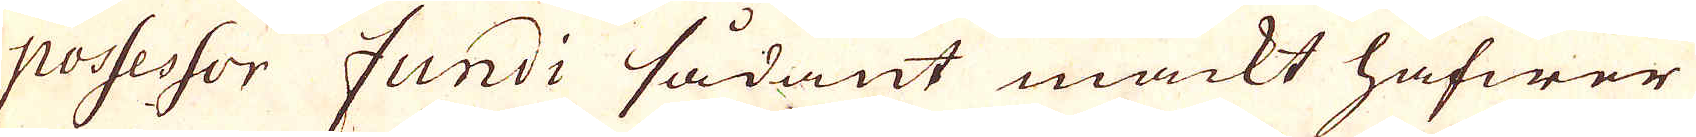possessor fundi sådant mackt hafwer
